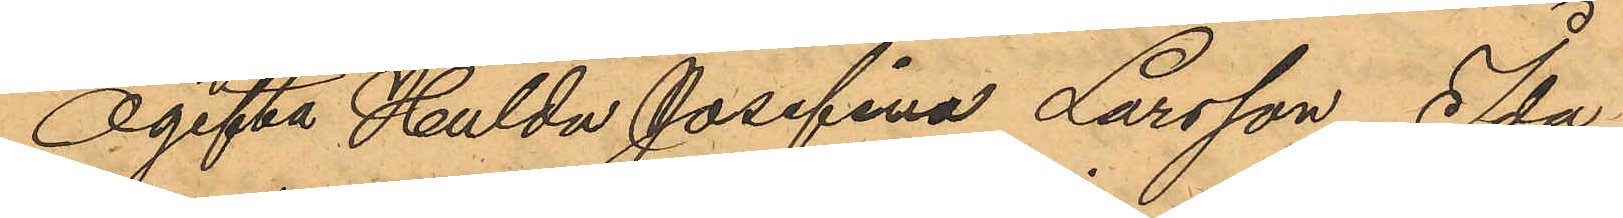Ogifta Hulda Josefina Larsson Ida
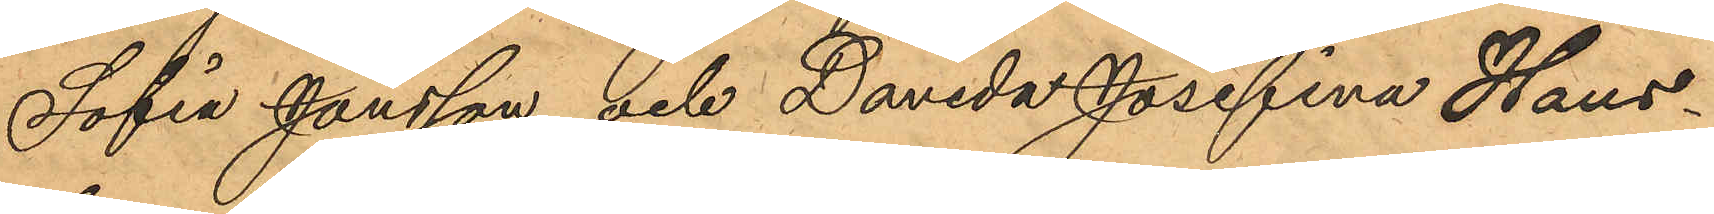Sofia Jansson och Davida Josefina Hans¬
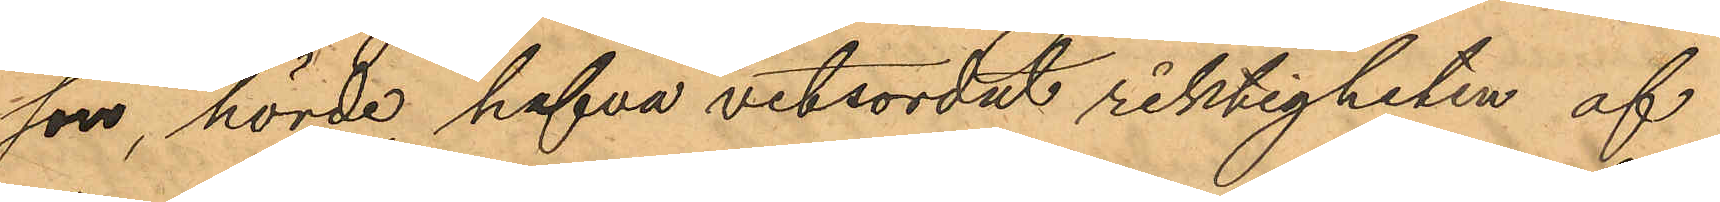son, hörde, hafva vitsordat riktigheten af
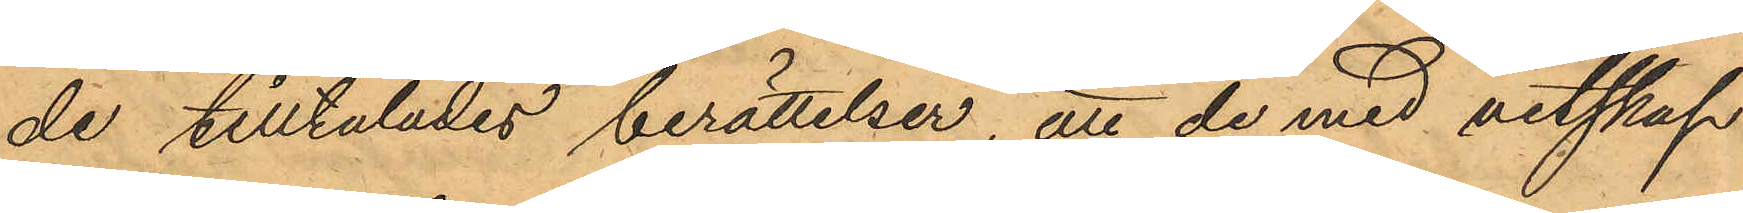de tilltalades berättelser, att de med vetskap
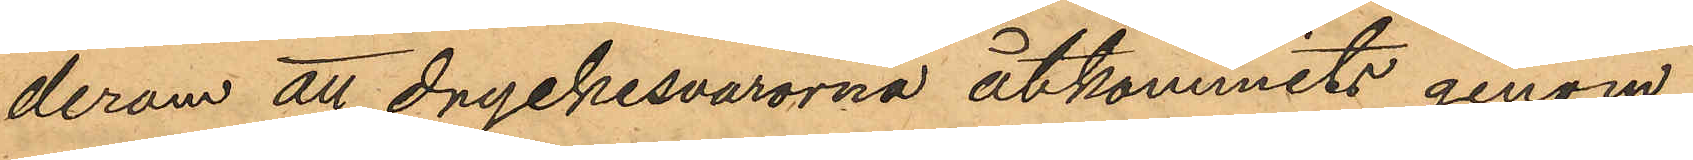derom att dryckesvarorna åtkommits genom
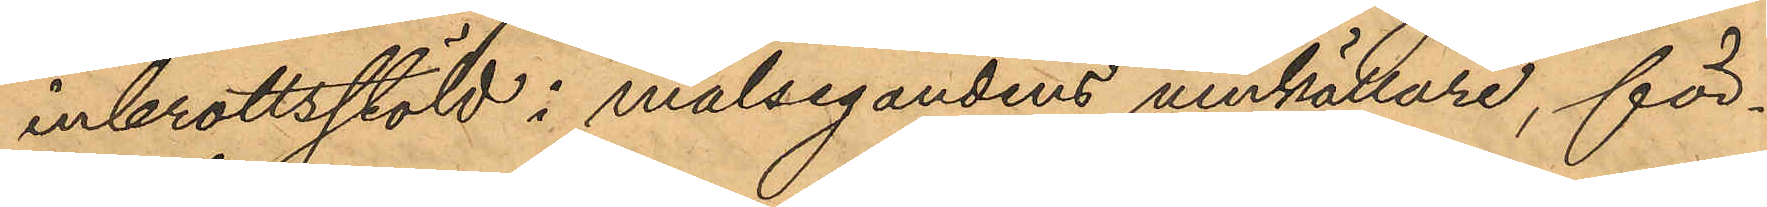inbrottsstöld i målsegandens vinkällare, för¬
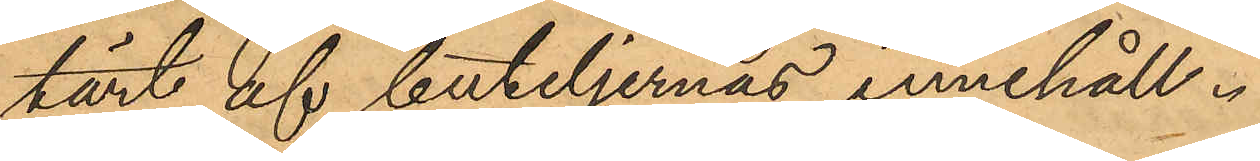tärt af buteljernas innehåll.
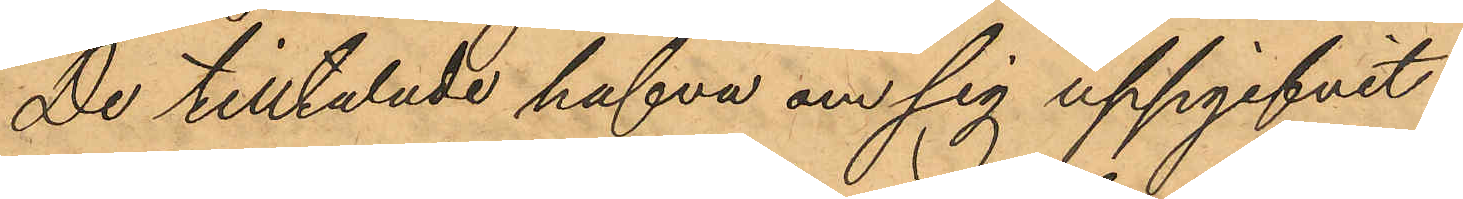De tilltalade hafva om sig uppgifvit:
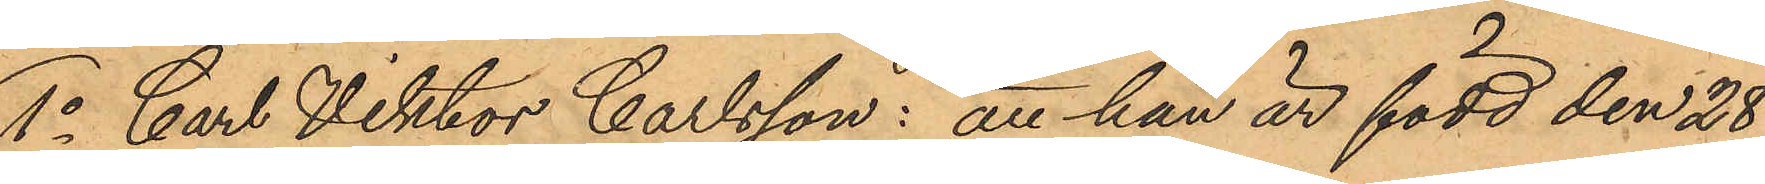1o Carl Viktor Carlsson: att han är född den 28
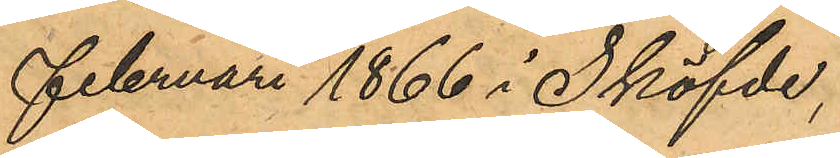Februari 1866 i Sköfde,
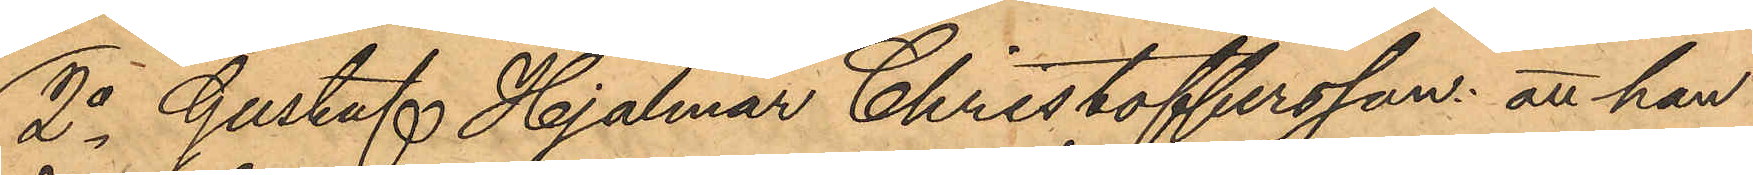2o Gustaf Hjalmar Christoffersson: att han
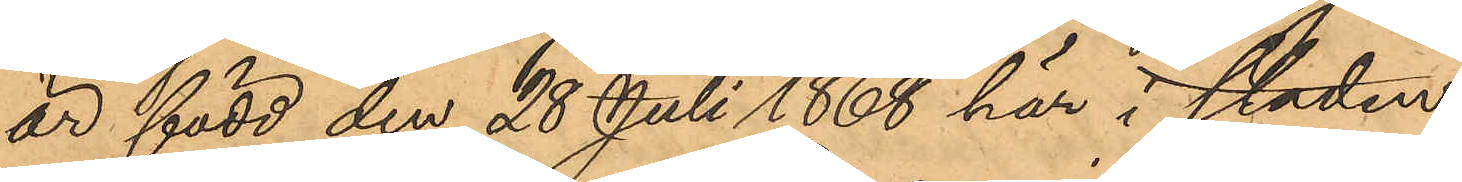är född den 28 Juli 1868 här i staden,
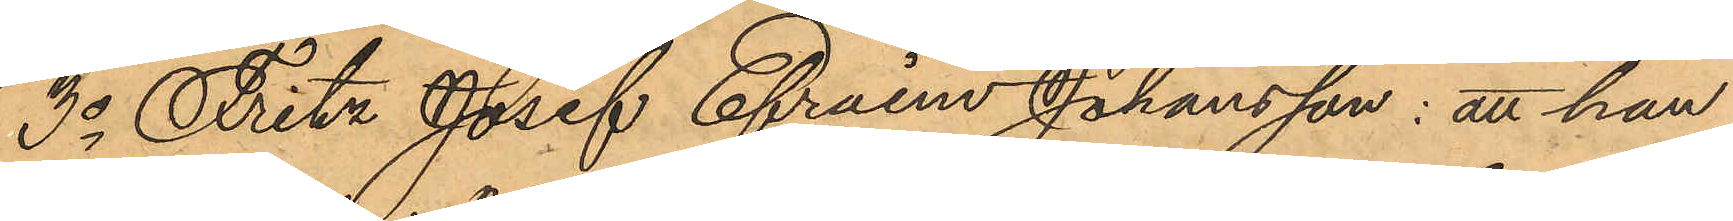3o Fritz Josef Efraim Johansson: att han
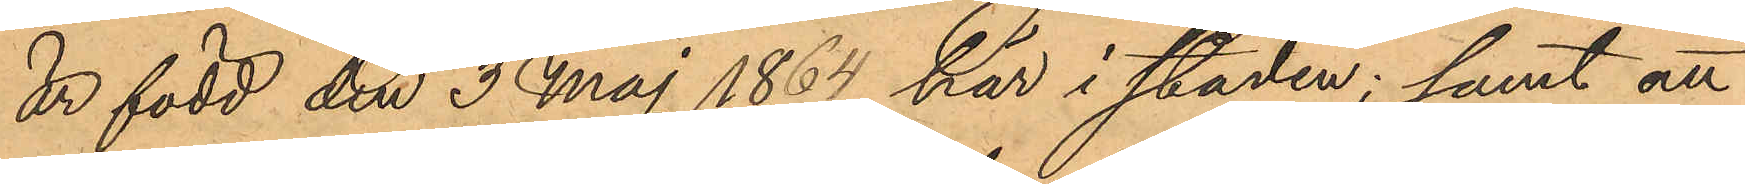är född den 3 Maj 1864 här i staden; samt att
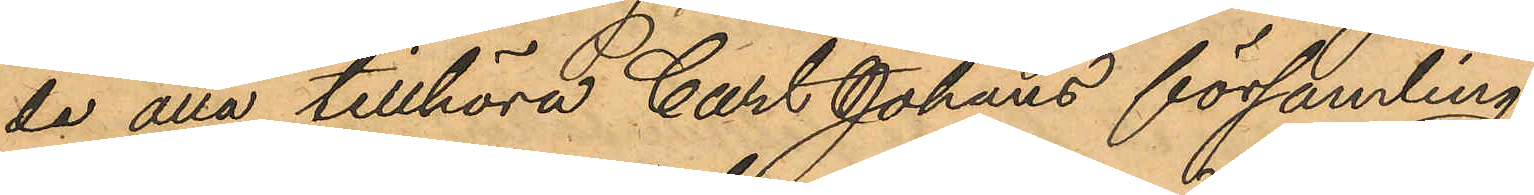de alla tillhöra Carl Johans församling;
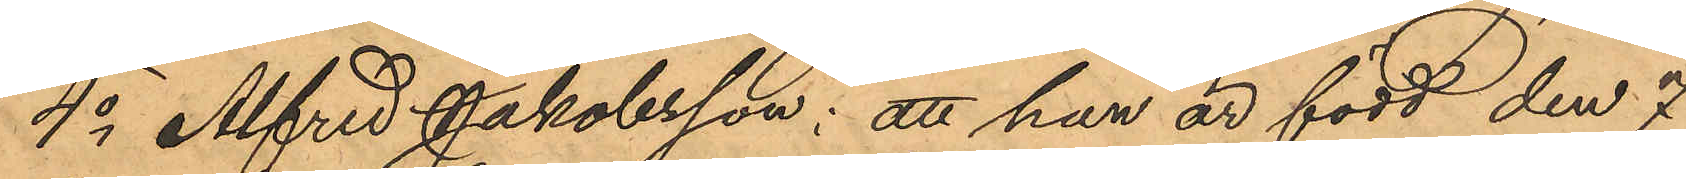4o Alfred Jakobsson: att han är född den 7
